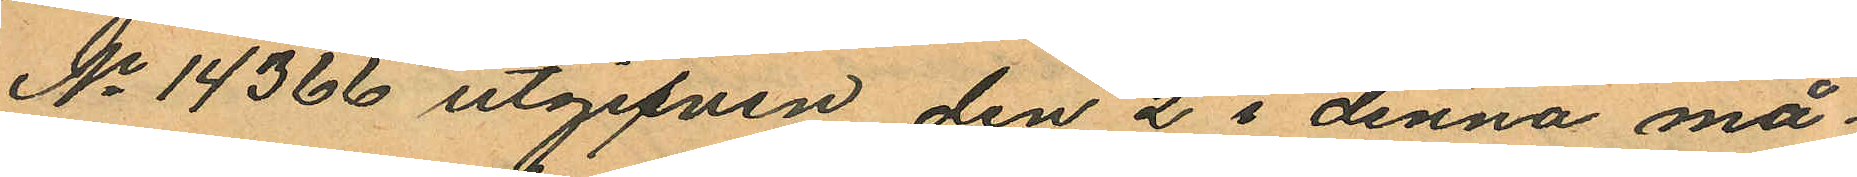No 14366 utgifven den 2 i denna må¬
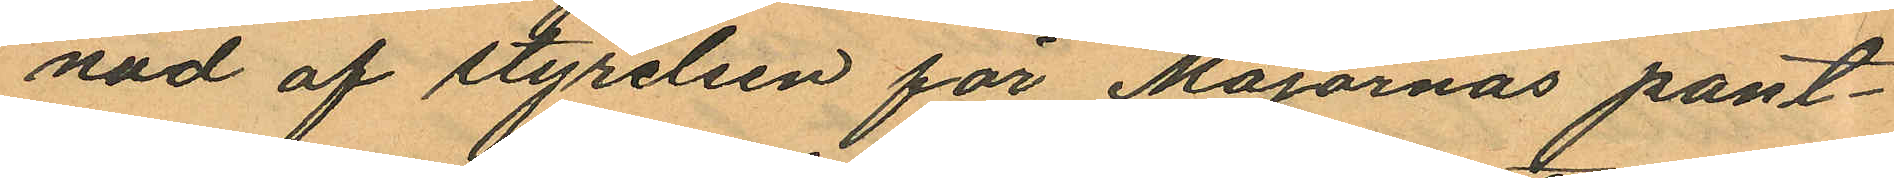nad af styrelsen för Majornas pant¬
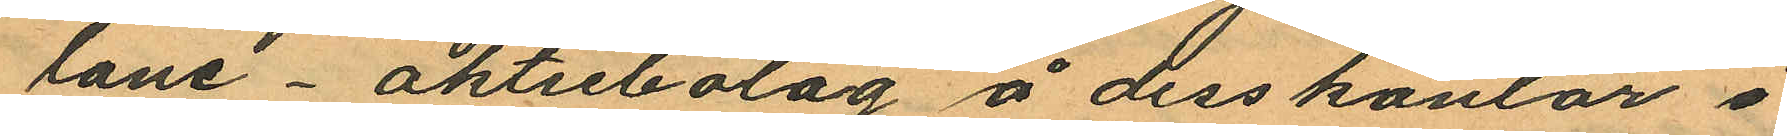lane - aktiebolag å dess kontor i
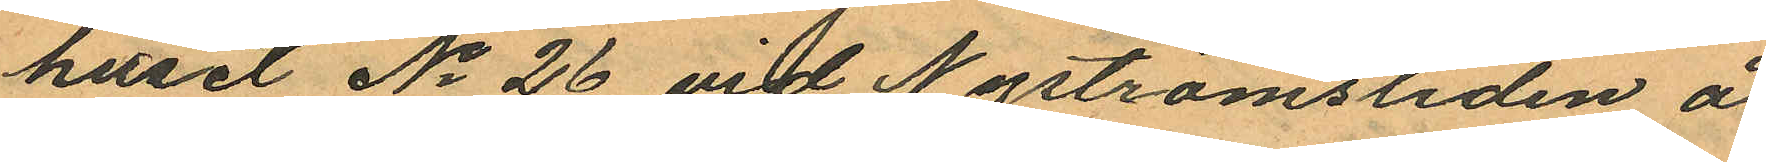huset No 26 vid Nyströmsliden å
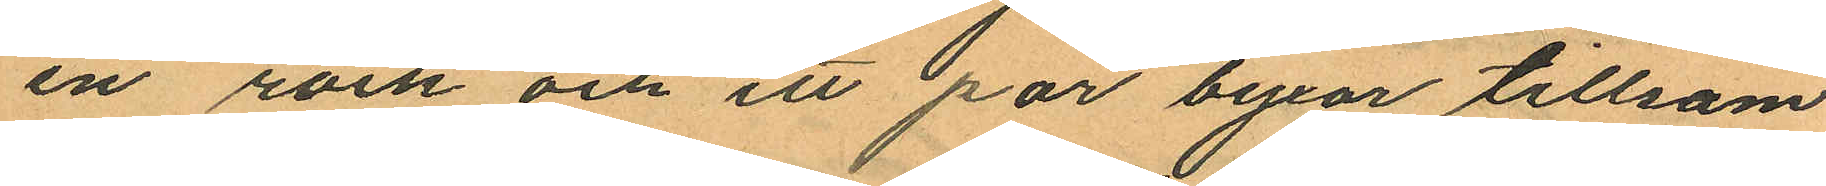en rock och ett par byxor tillsam
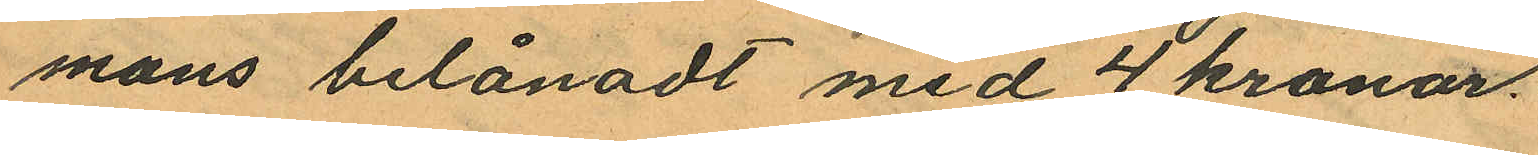mans belånadt med 4 kronor.
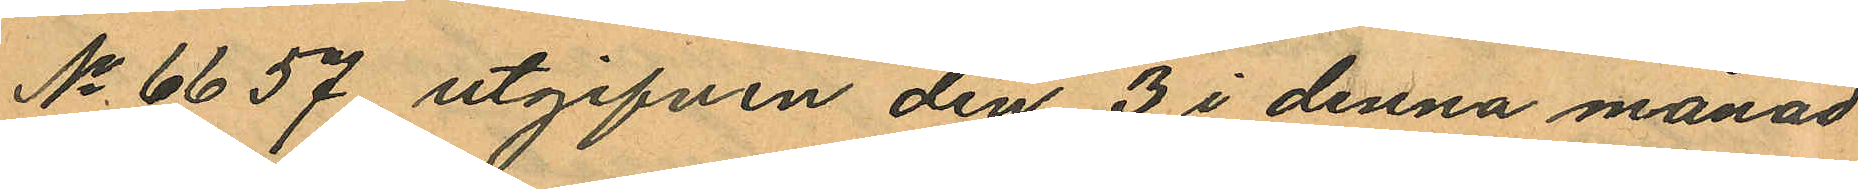No 6657 utgifven den 3 i denna månad
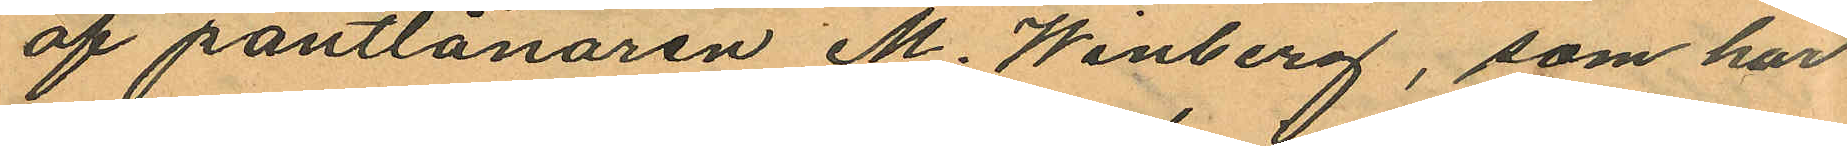af pantlånaren M. Winberg, som har
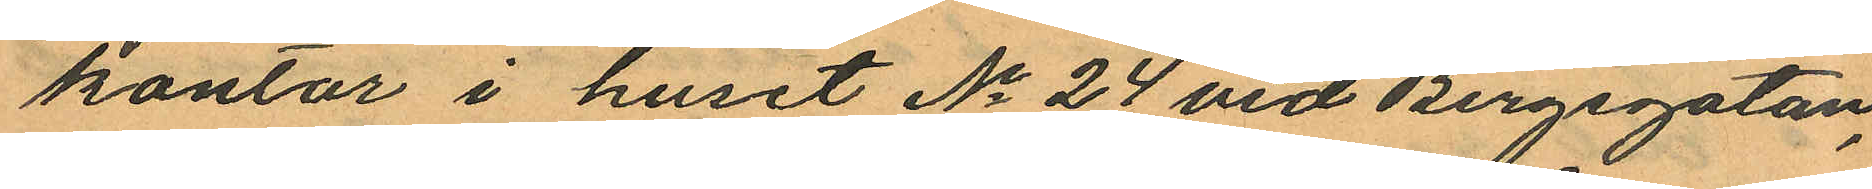kontor i huset No 24 vid Bergsgatan,
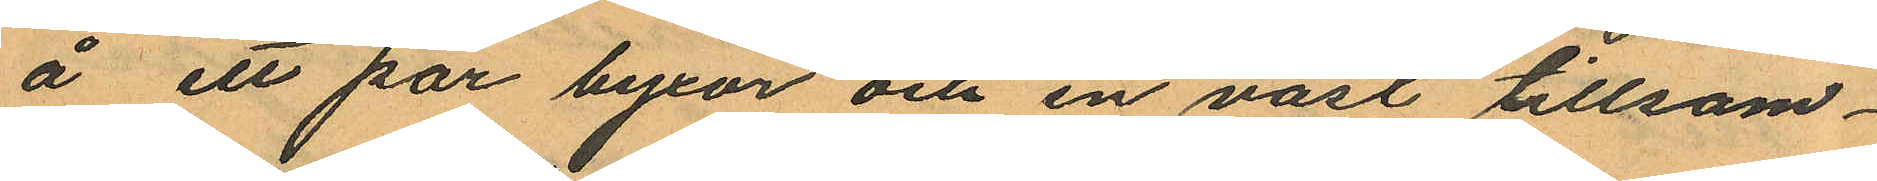å ett par byxor och en väst tillsam¬
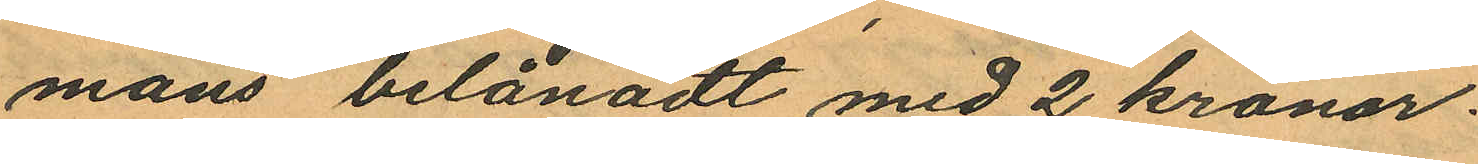mans belånadt med 2 kronor.
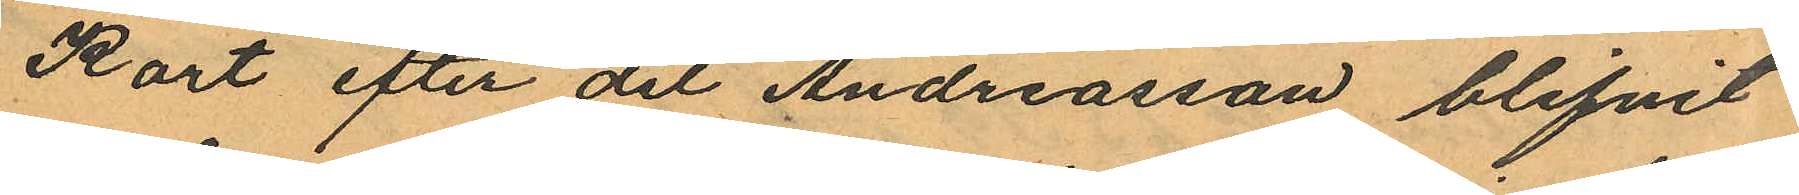Kort efter det Andreasson blifvit
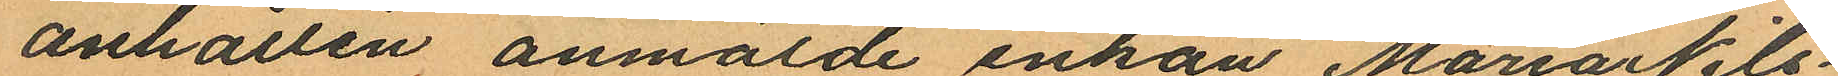anhållen anmälde enkan Maria Nils¬
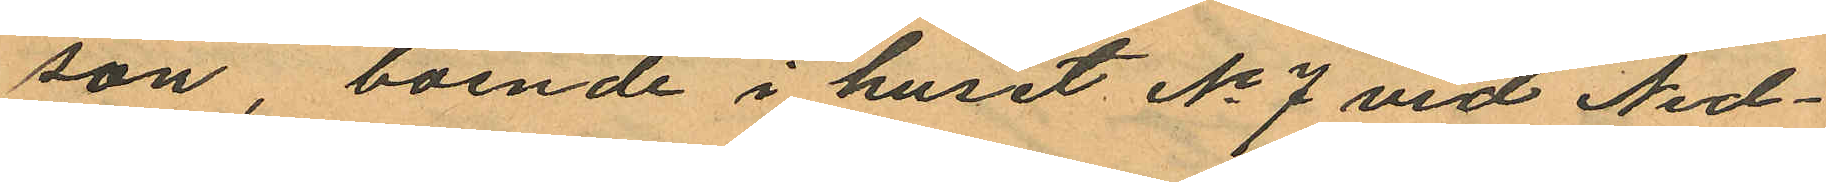son, boende i huset No 7 vid Ned¬
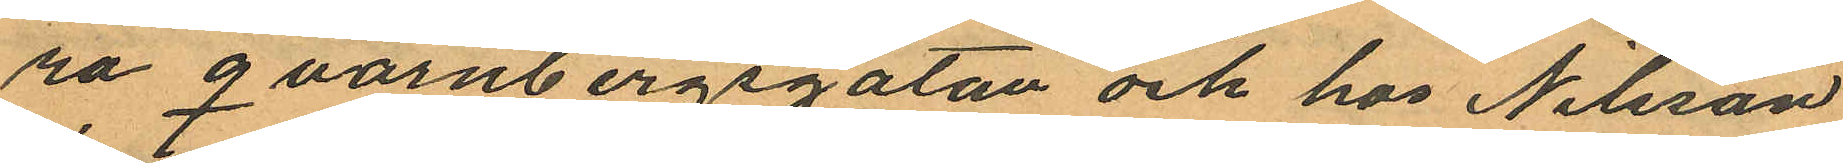ra qvarnbergsgatan och hos Nilsson
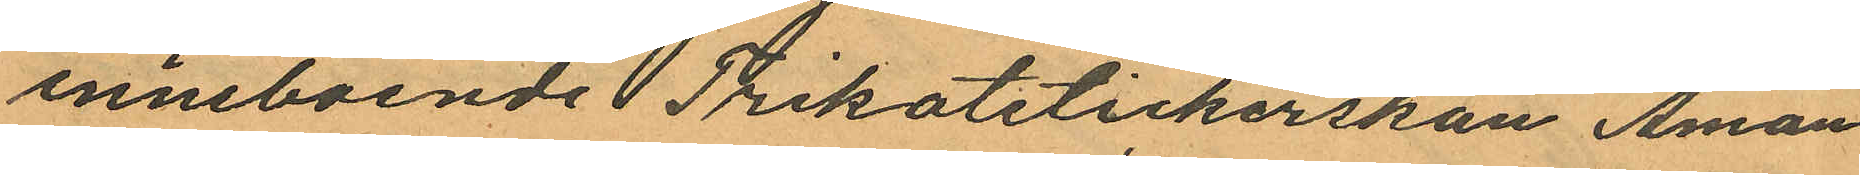inneboende Trikotstickerskan Aman
